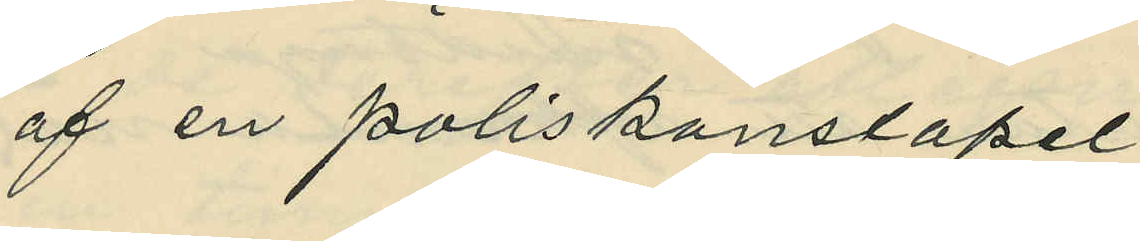af en poliskonstapel
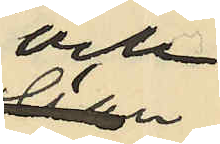och
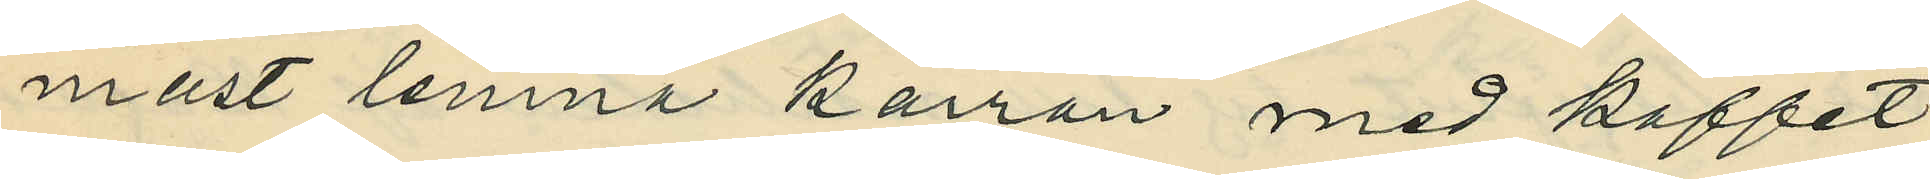måst lemna kärran med kaffet
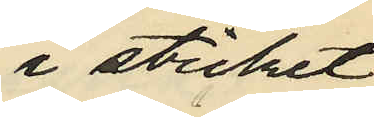i sticket
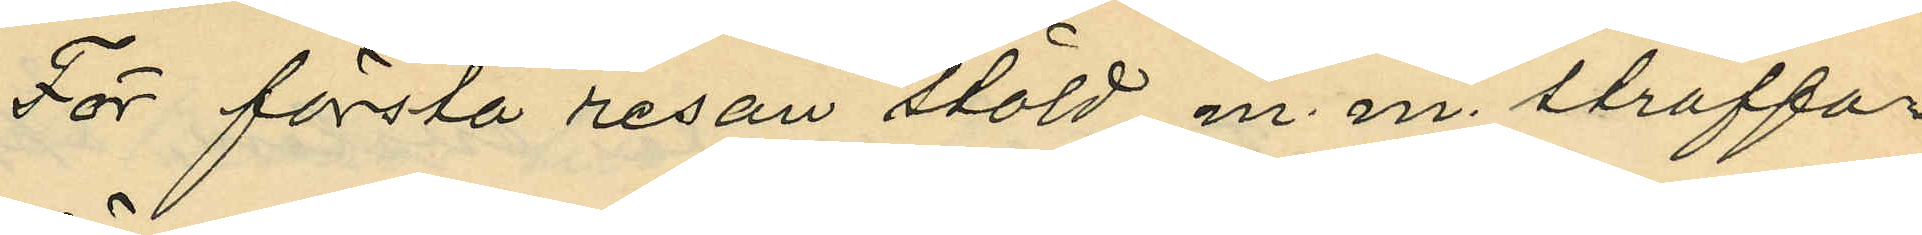För första resan stöld m. m. straffa¬
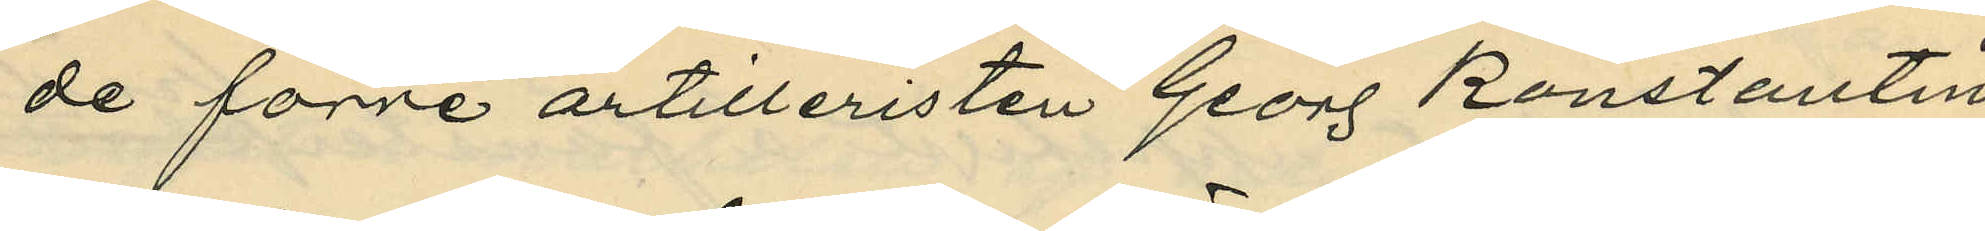de förre artilleristen Georg Konstantin
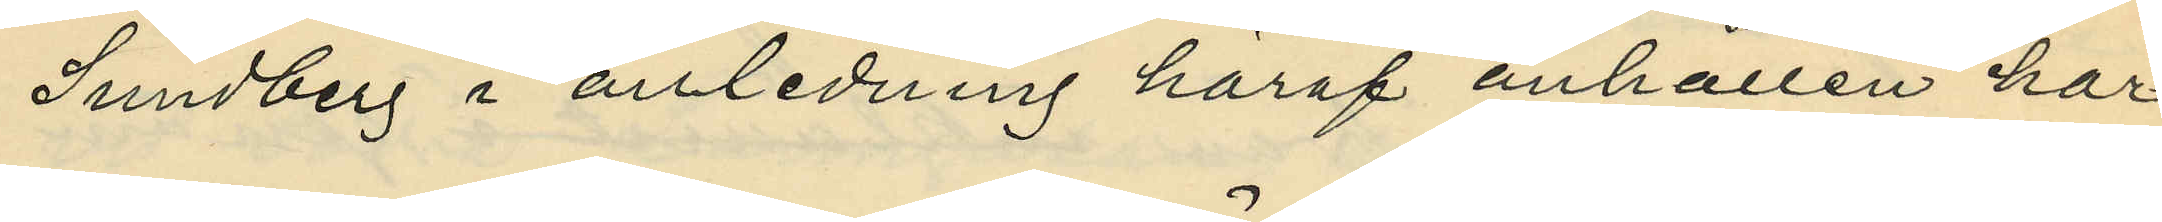Sundberg i anledning häraf anhållen har
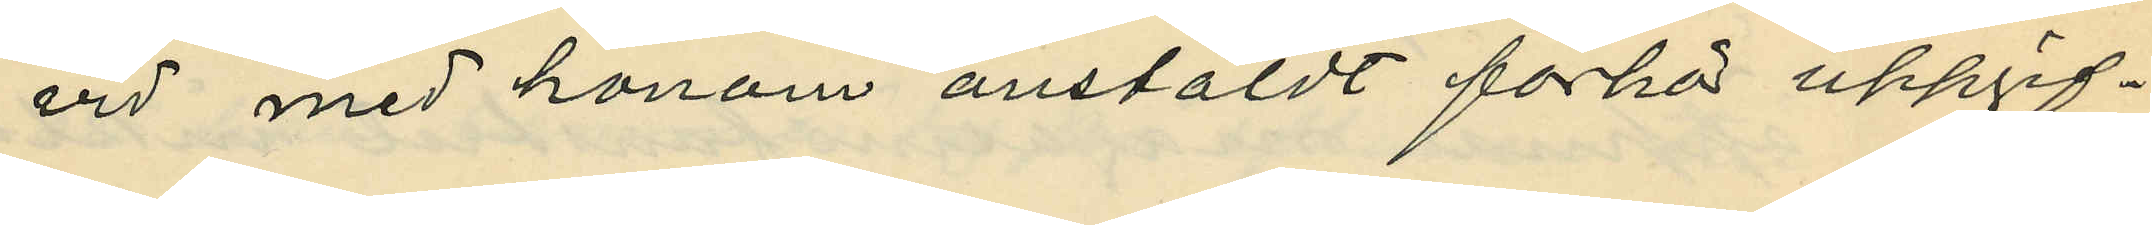vid med honom anstäldt förhör uppgif¬
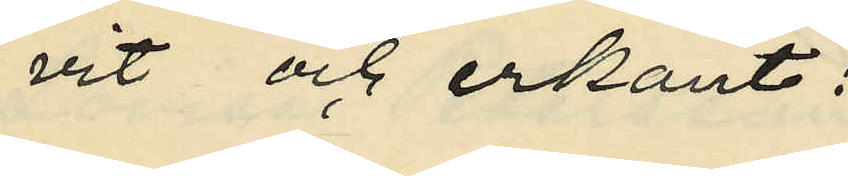vit och erkänt:
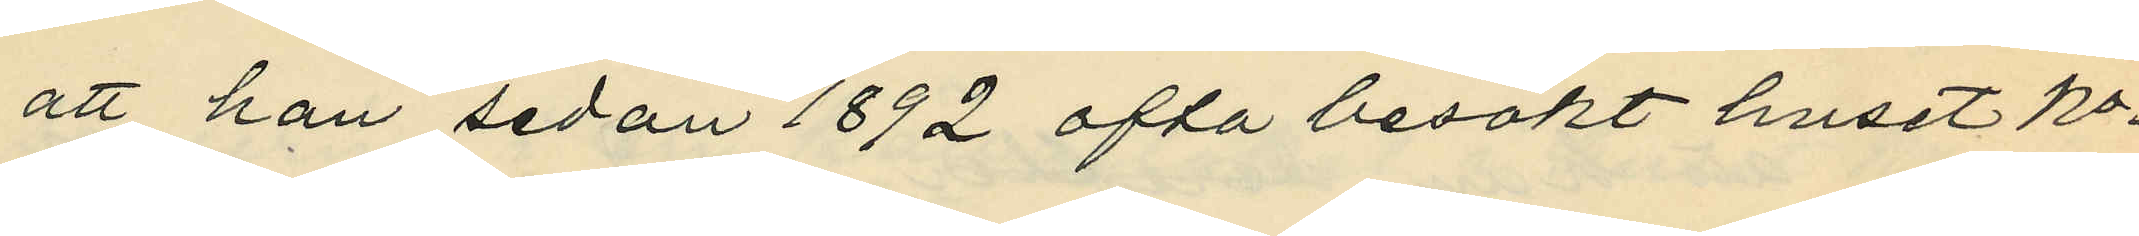att han sedan 1892 ofta besökt huset No
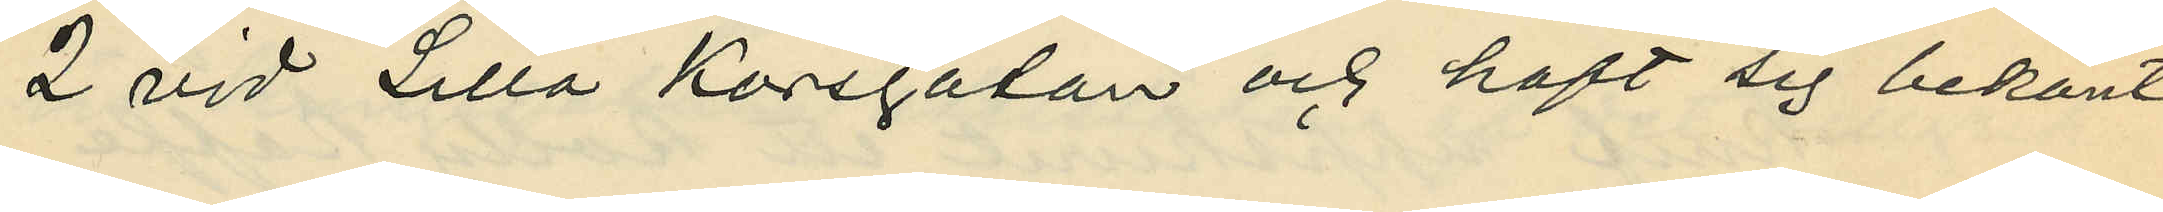2 vid Lilla Korsgatan och haft sig bekant
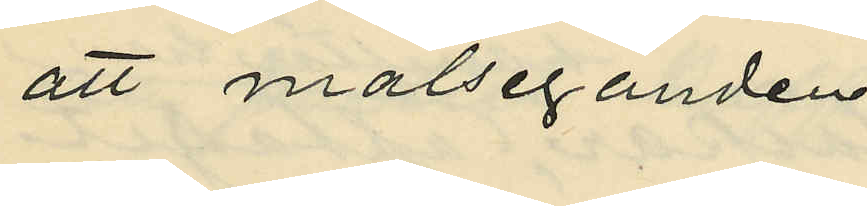att målseganden
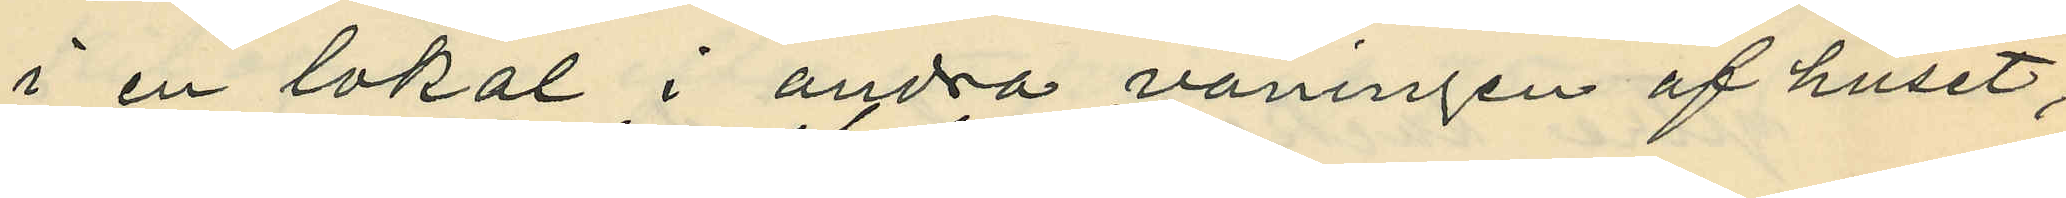i en lokal i andra våningen af huset;
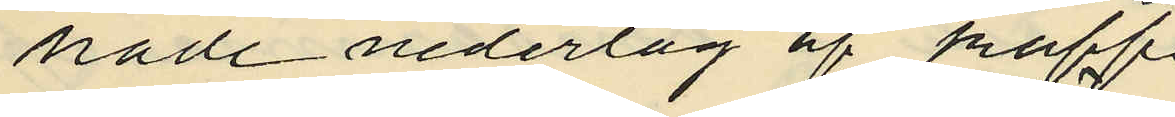hade nederlag af kaffe
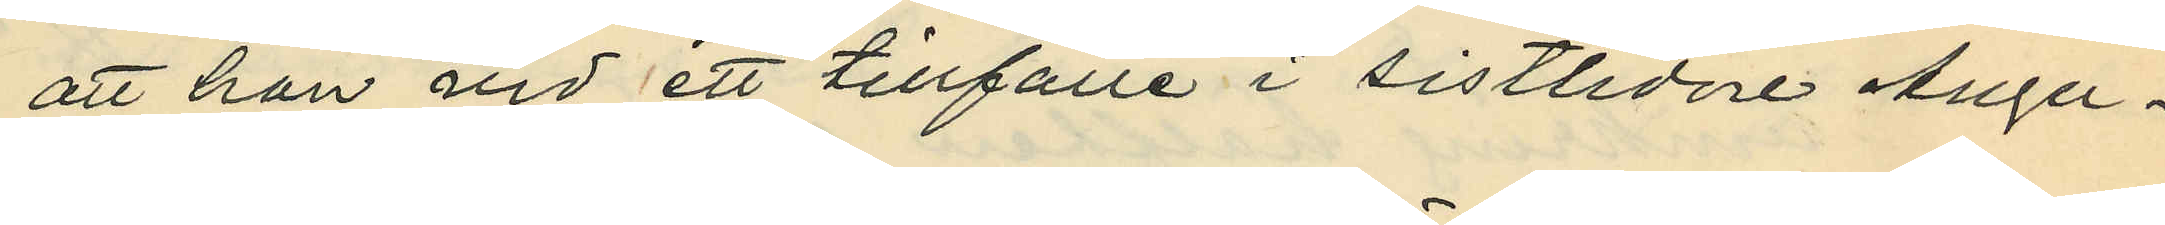att han vid ett tillfälle i sistlidne Augu¬
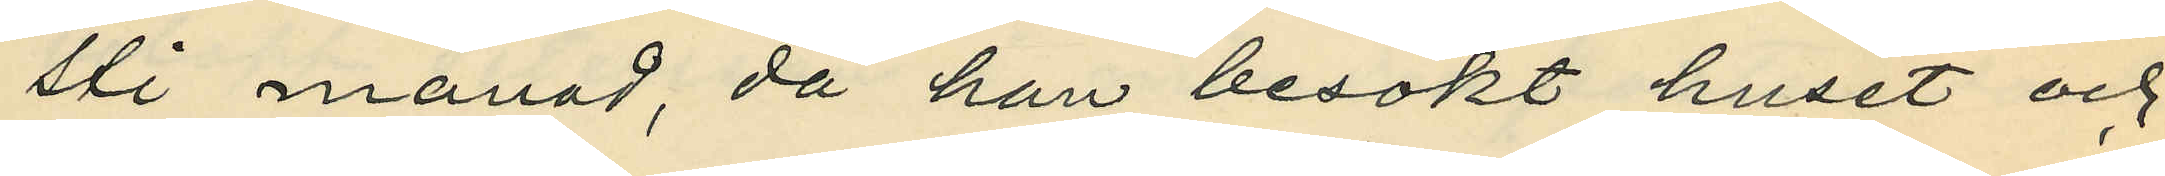sti månad, då han besökt huset och
